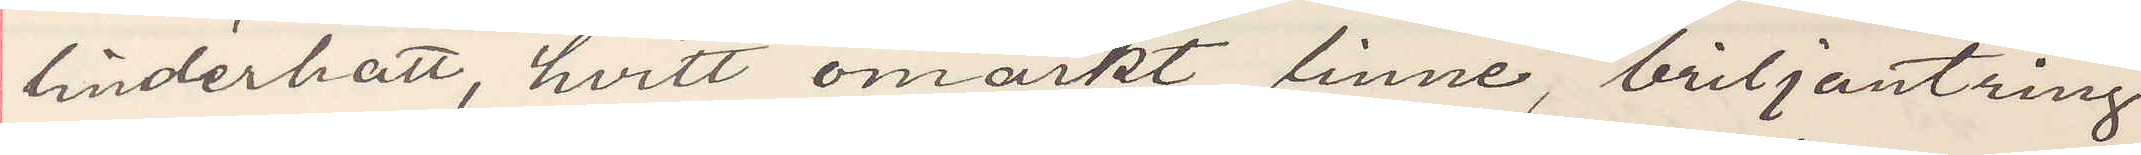linderhatt, hvitt omärkt linne, briljantring
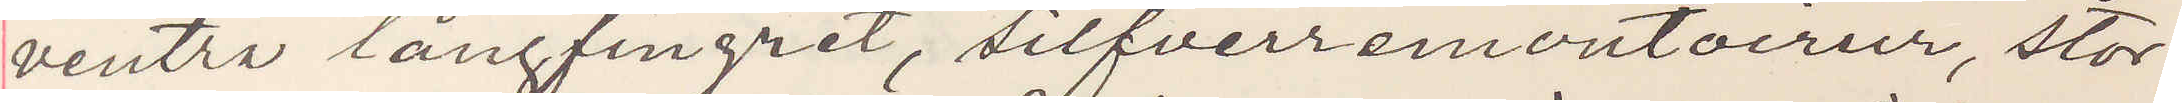venstra långfingret, silfverremontoirur, stor¬
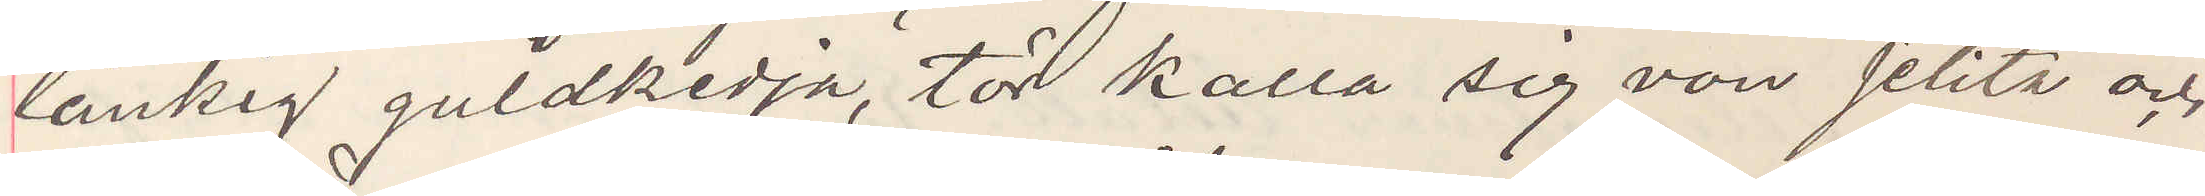länkig guldkedja, tör kalla sig von Jelita och
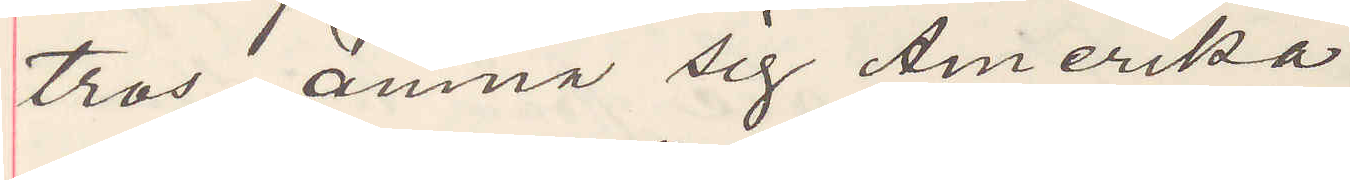tros ämna sig Amerika.
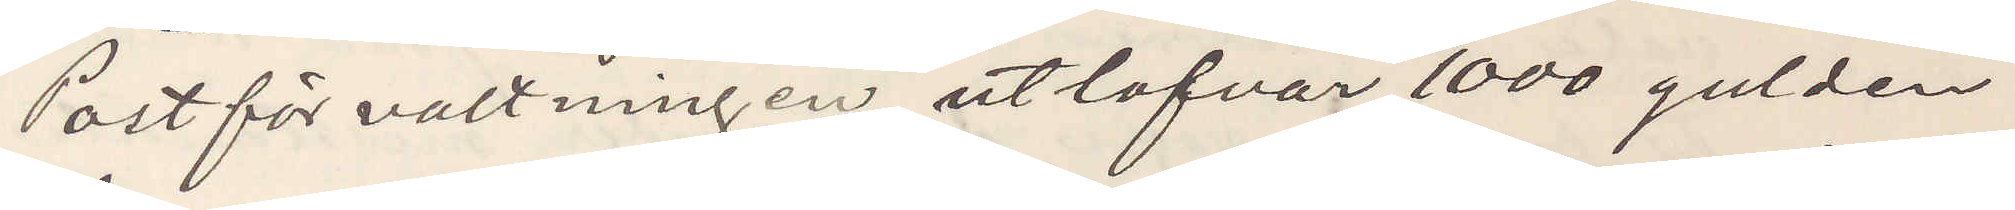Postförvaltningen utlofvar 1000 gulden
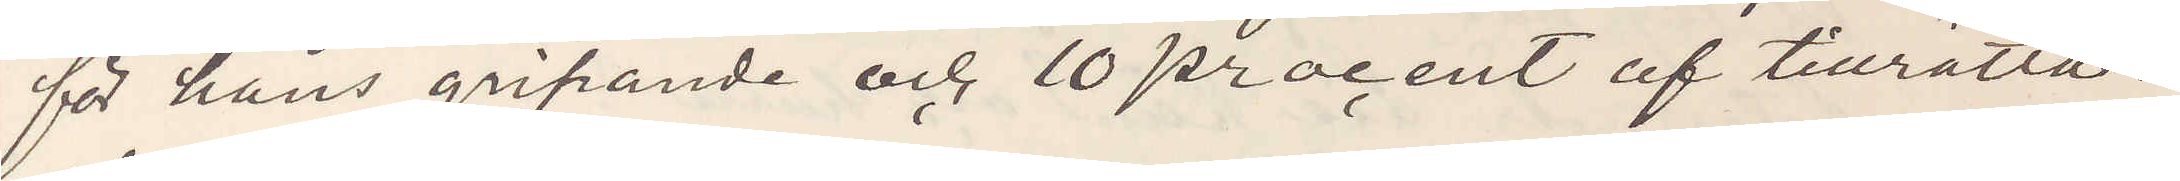för hans gripande och 10 procent af tillrätta¬
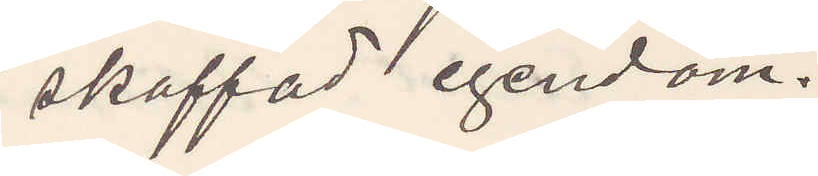skaffad egendom.
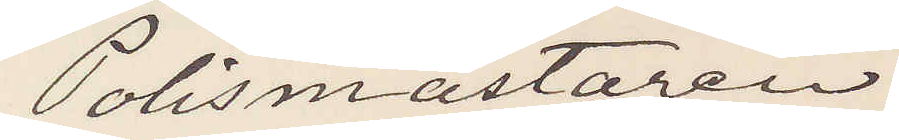Polismästaren
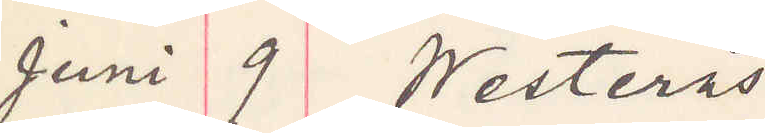Juni 9 Westerås
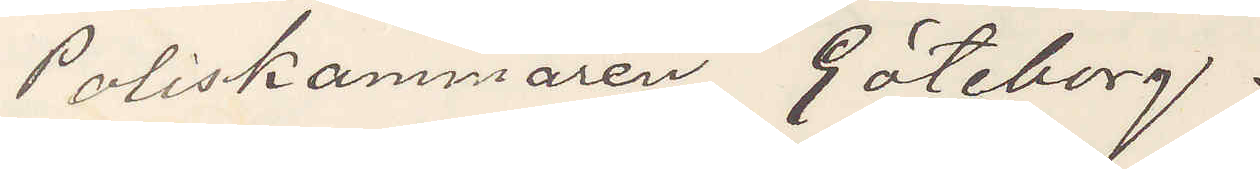Poliskammaren Göteborg.
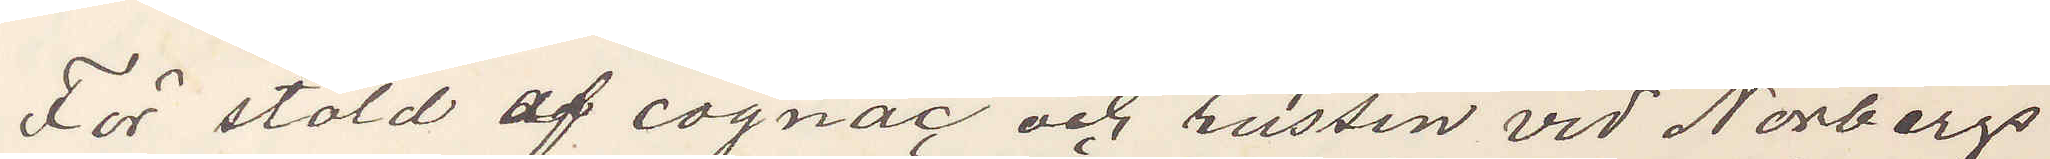För stöld af cognag och russin vid Norbergs
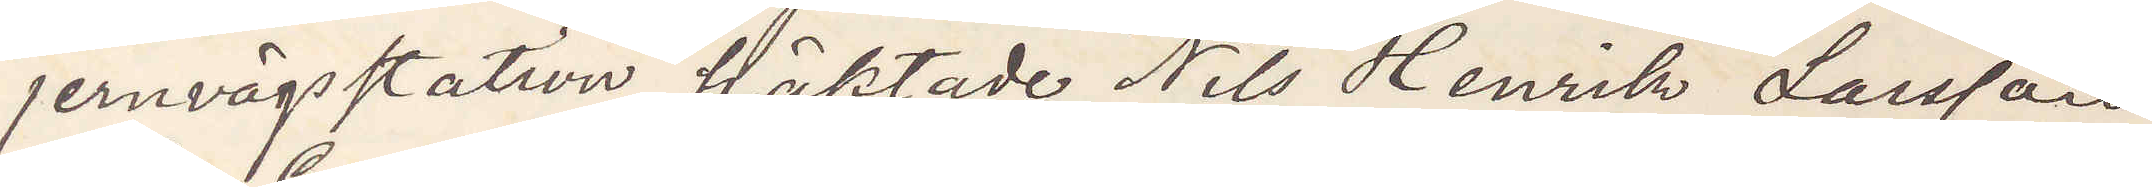jernvägsstation häktade Nils Henrik Larsson
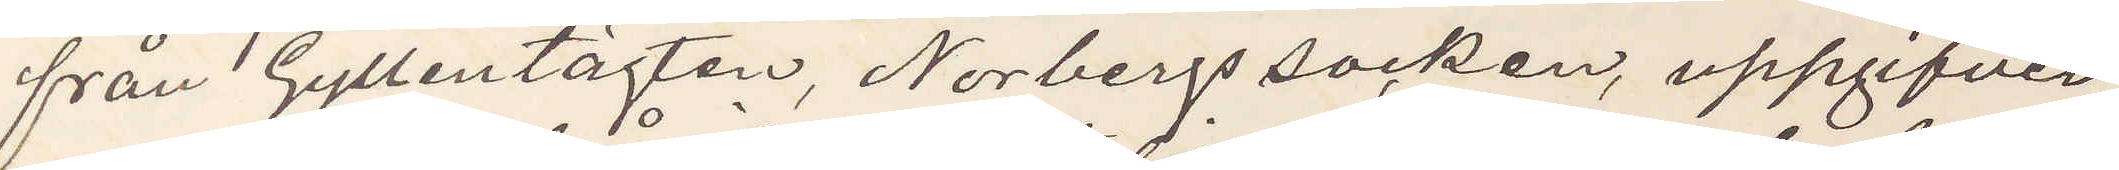från Gyllentägten, Norbergs socken, uppgifver
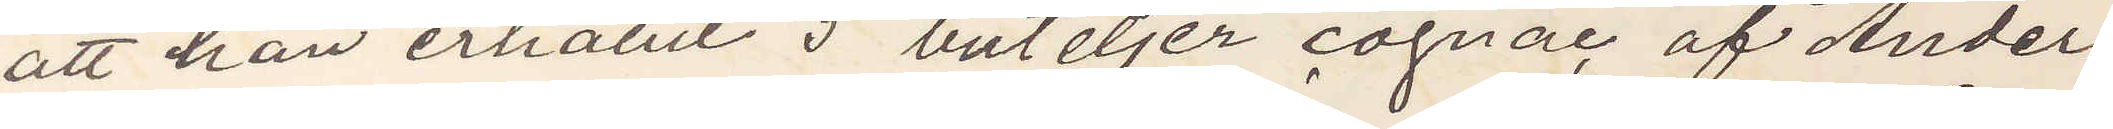att han erhållit 5 buteljer cognac af Ander
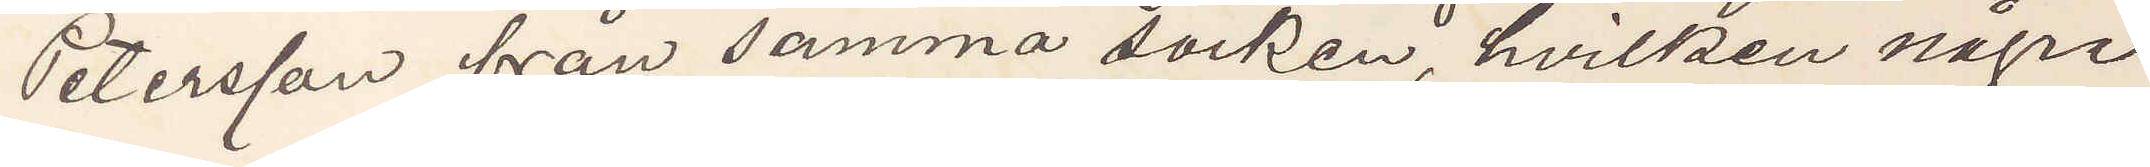Petersson från samma socken, hvilken några
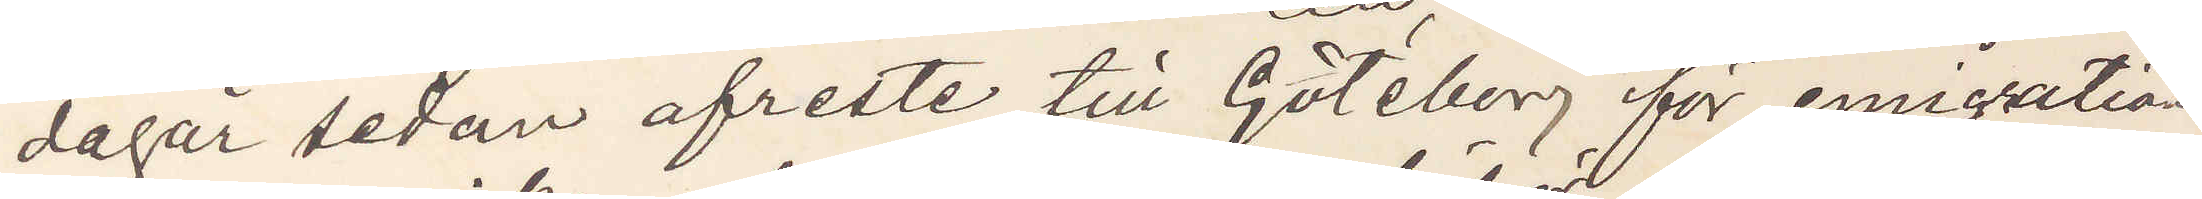dagår sedan afreste till Göteborg för emigration
